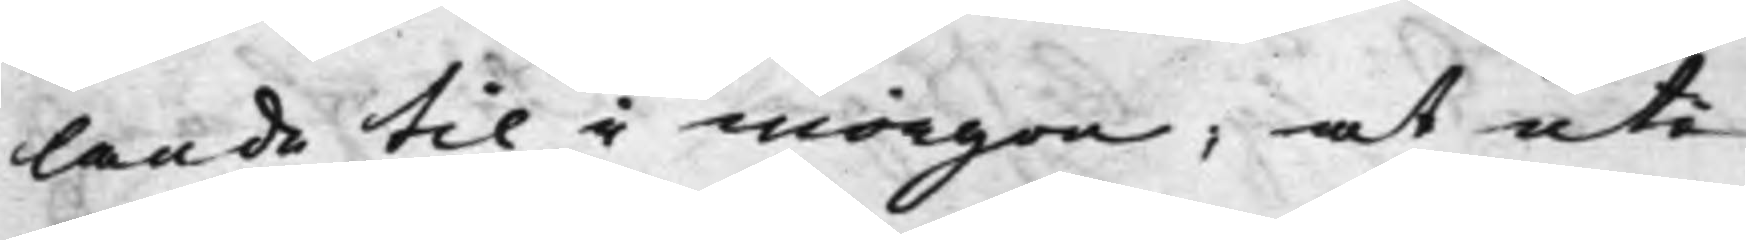lande til i morgon; at uti
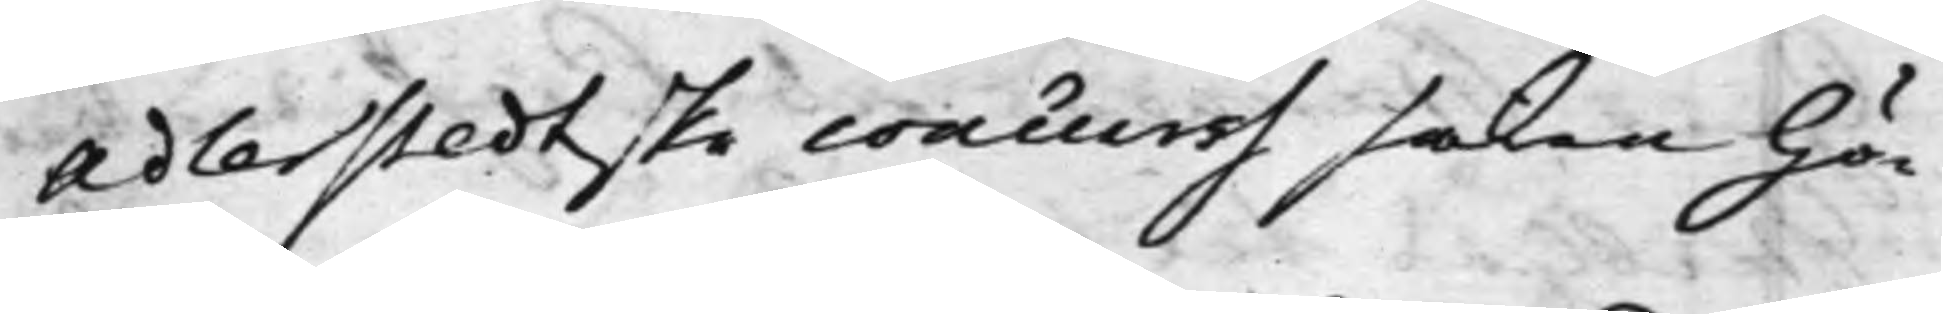Adlerstedtske concurss saken hö¬
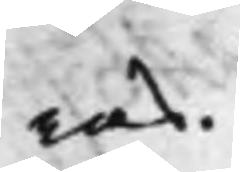ras.
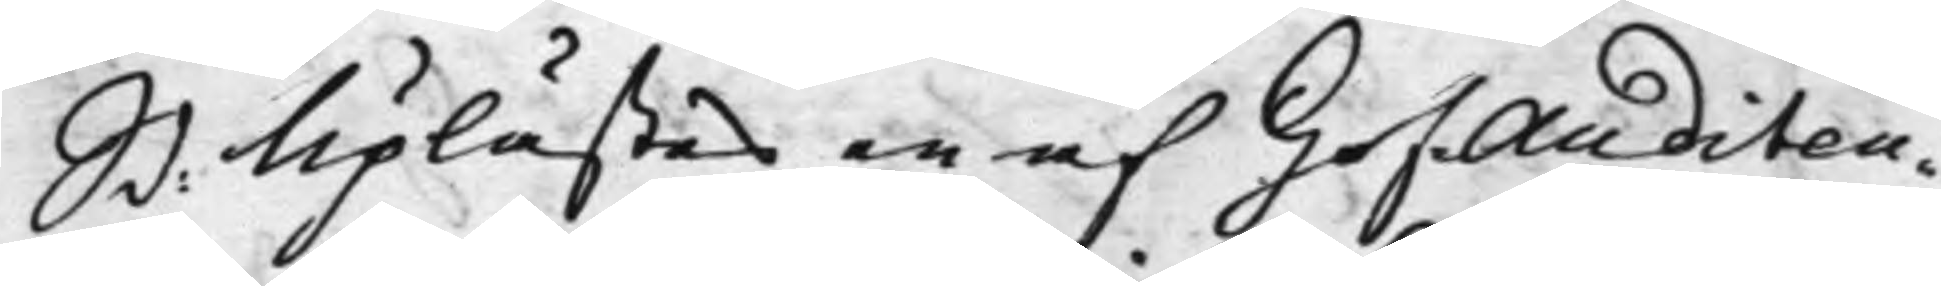S d: Uplästes en af HofAuditeu¬
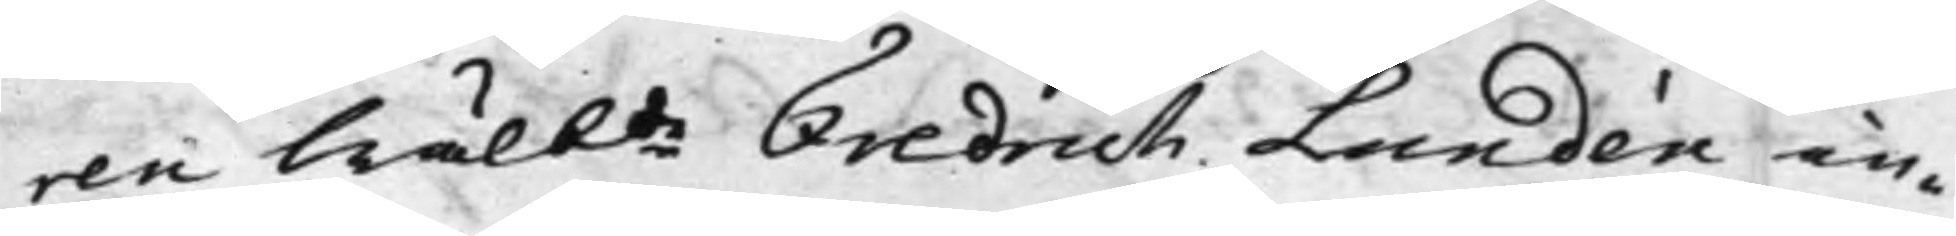ren Wälbde Fredrich Lundén in¬
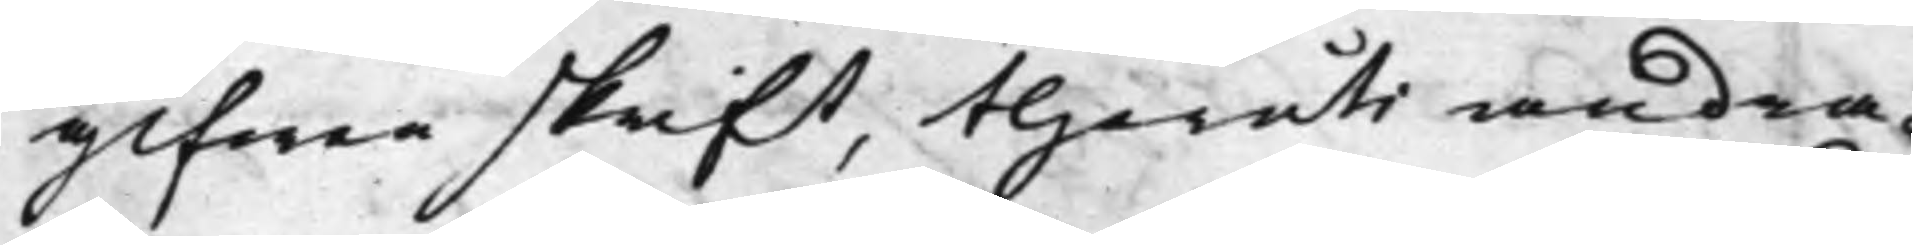gifwen skrift, theruti andra¬
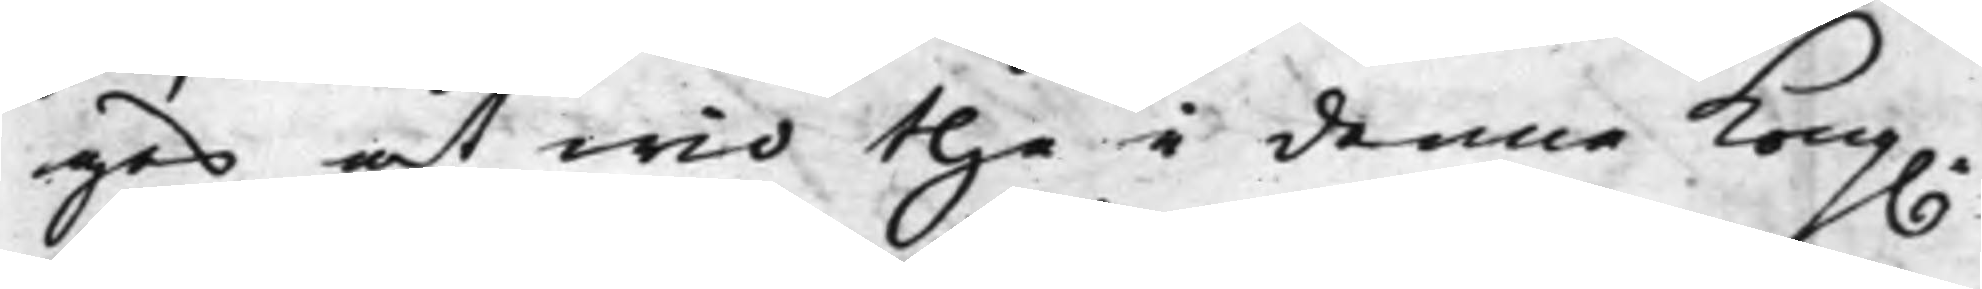ges, at wid the i denna Kong.
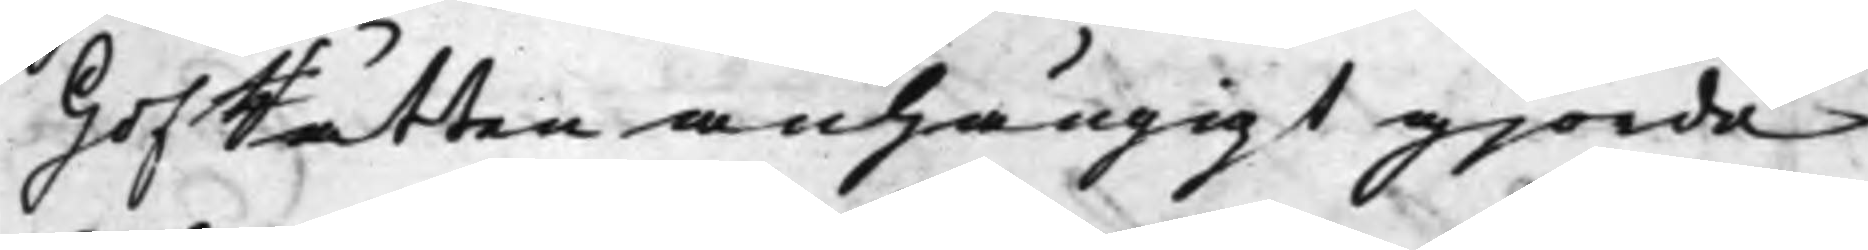HofRätten anhängigt gjorde
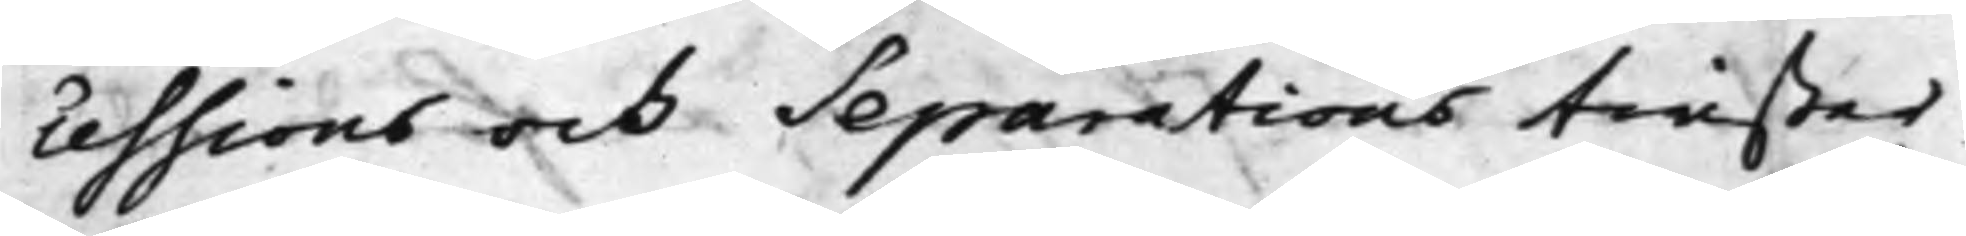cessions och Separations twister
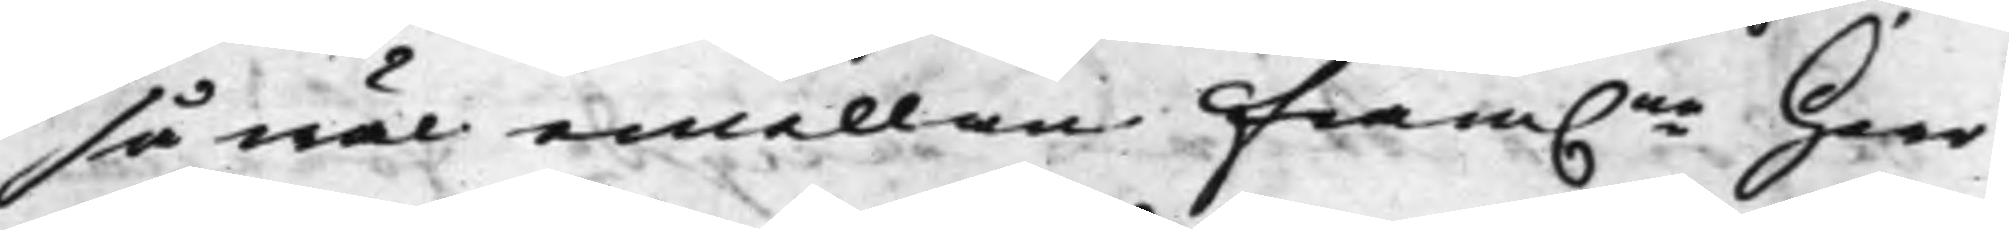så wäl emellan Fram.ne Herr
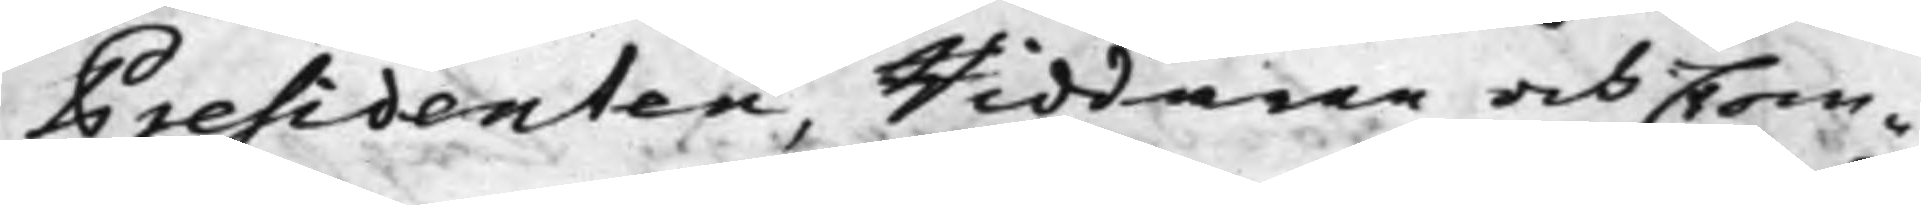Presidenten, Riddaren och Com¬
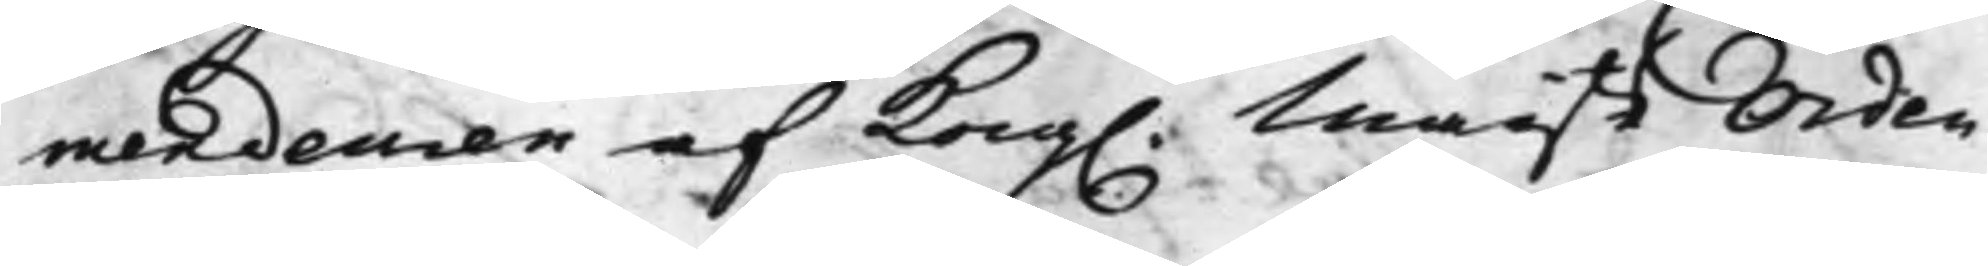mendeuren af Kong. Maijts Orden
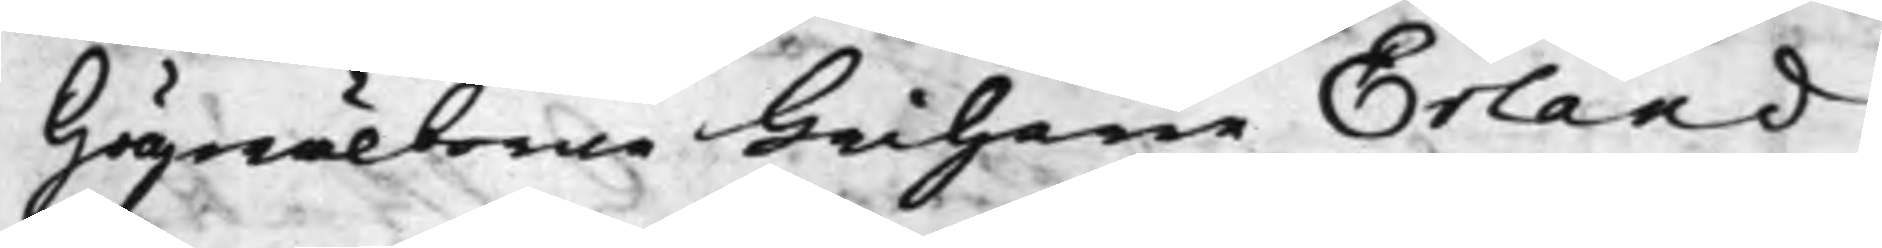Högwälborne Friherre Erland
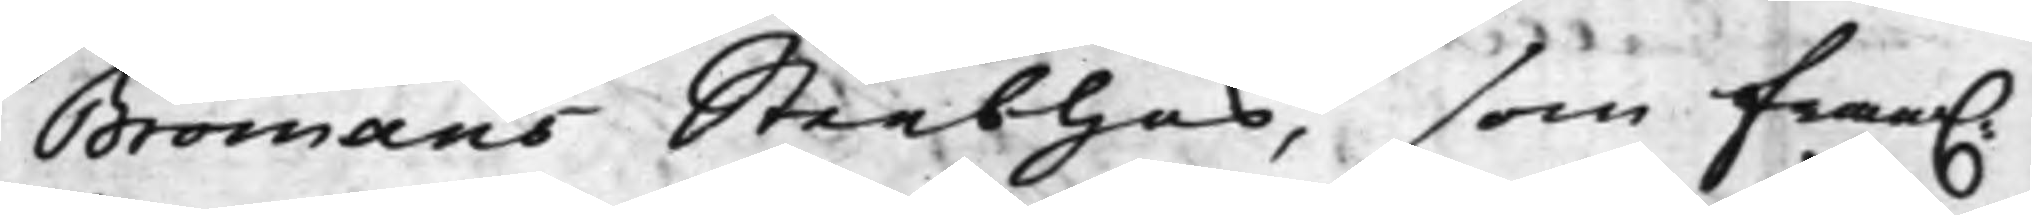Bromans Sterbhus, som fram.
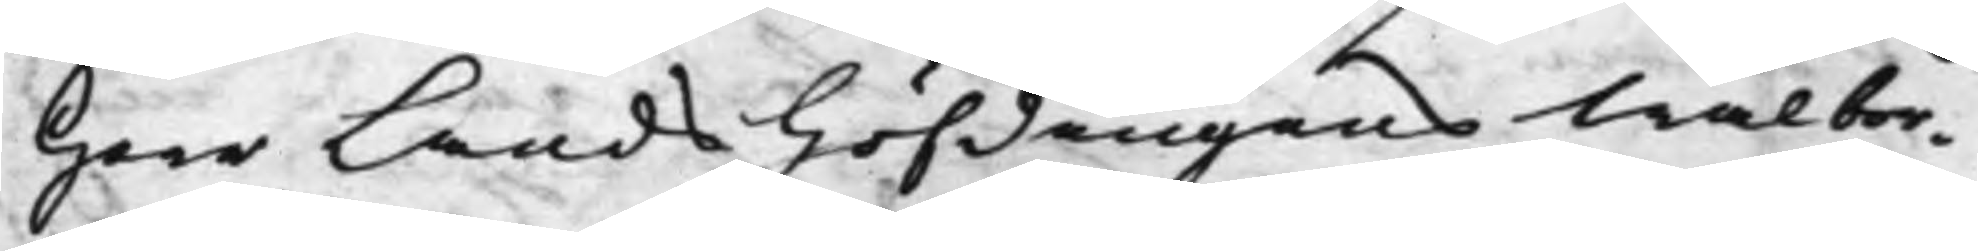Herr Landshöfdingens Wälbor¬
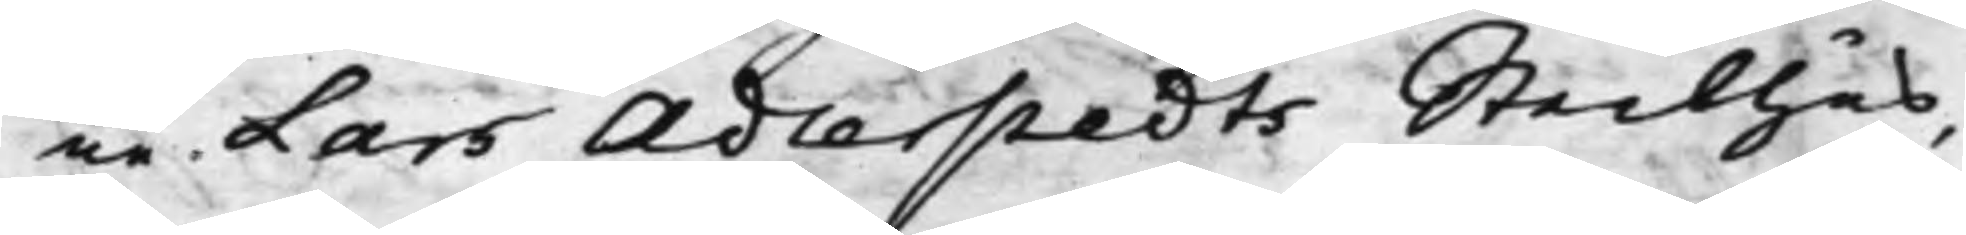ne Lars Adlerstedts Sterbhus,
